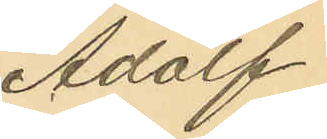Adolf
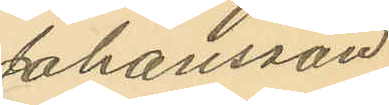Johansson
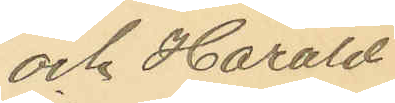och Harald
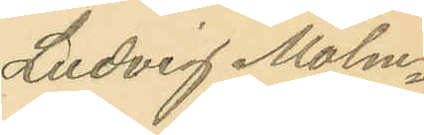Ludvig Malm¬
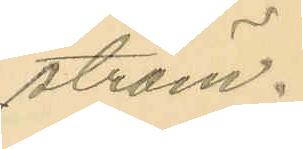ström.
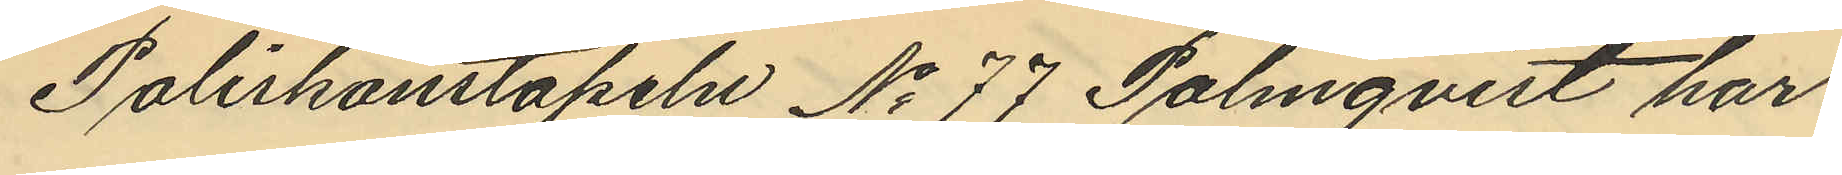Poliskonstapeln No 77 Palmqvist har
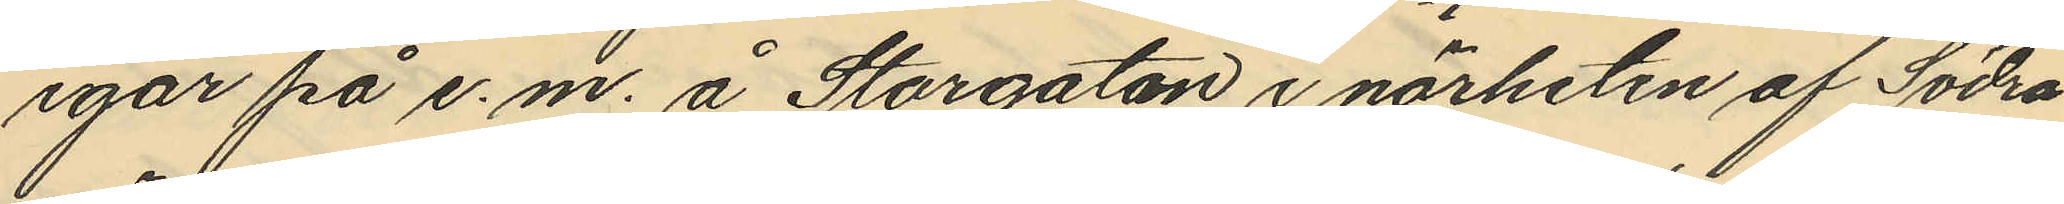igår på e. m. å Storgatan i närheten af Södra
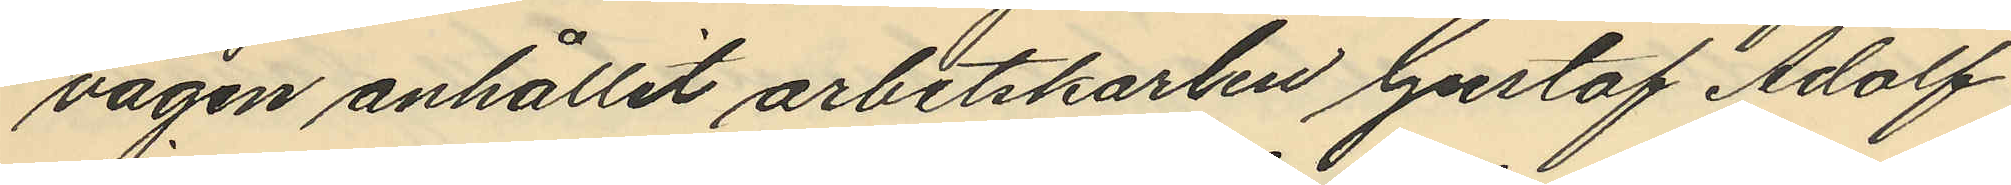vägen anhållit arbetskarlen Gustaf Adolf
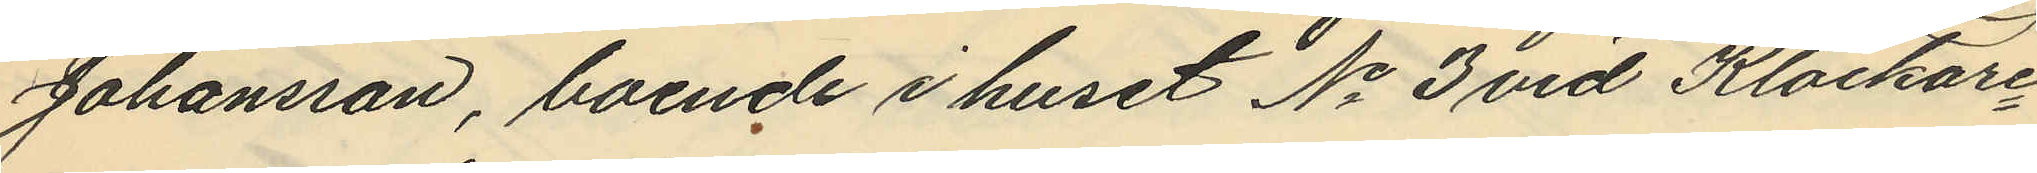Johansson, boende i huset No 3 vid Klockare¬
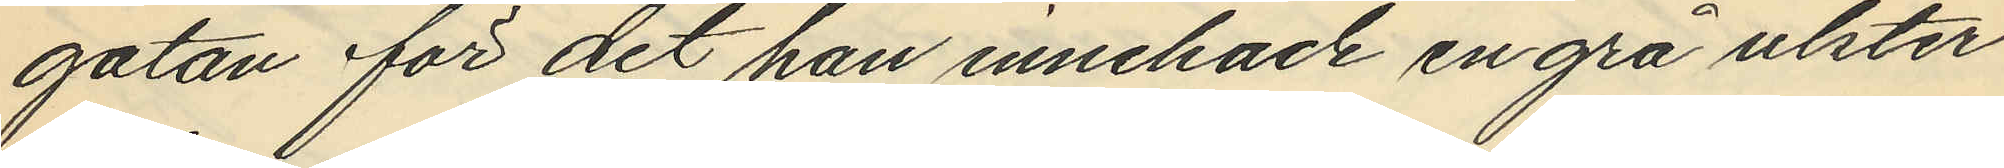gatan för det han innehade en grå utster
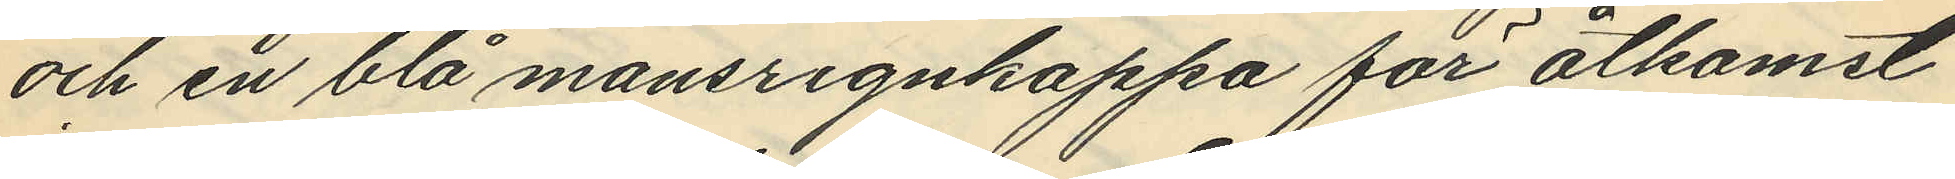och en blå mansregnkappa för åtkomst
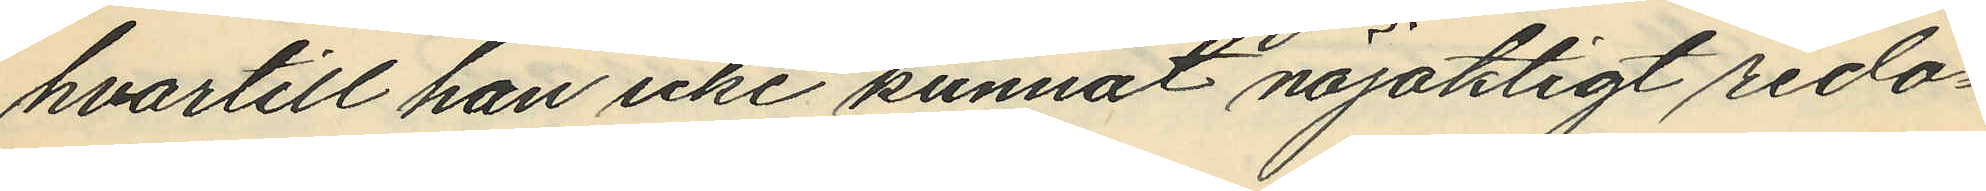hvartill han icke kunnat nöjakligt redo¬
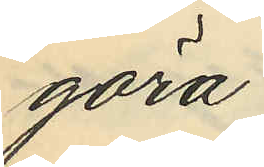göra.
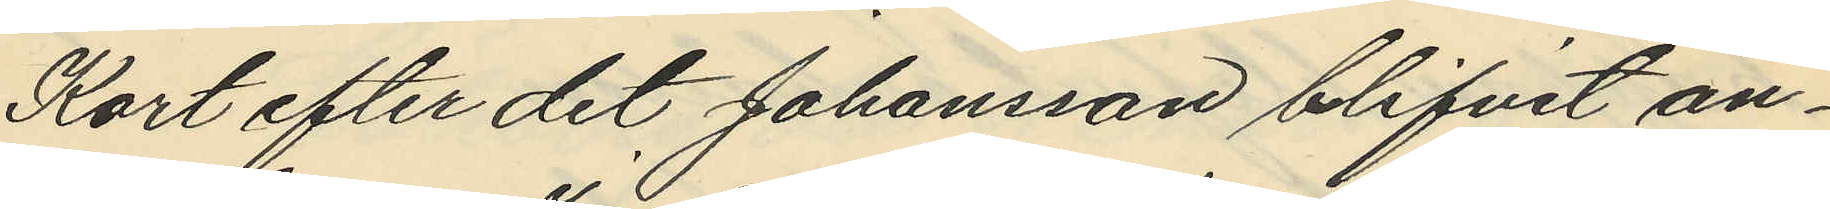Kort efter det Johansson blifvit an¬
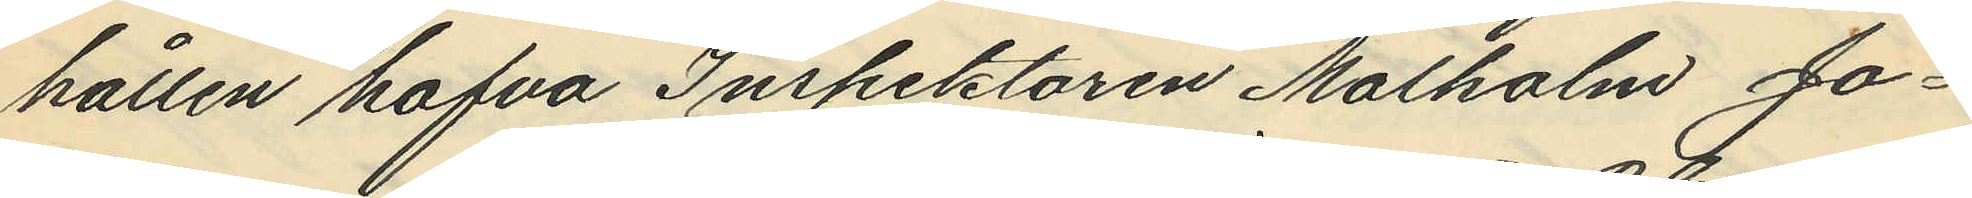hållen hafva Inspektoren Malkolm Jo¬
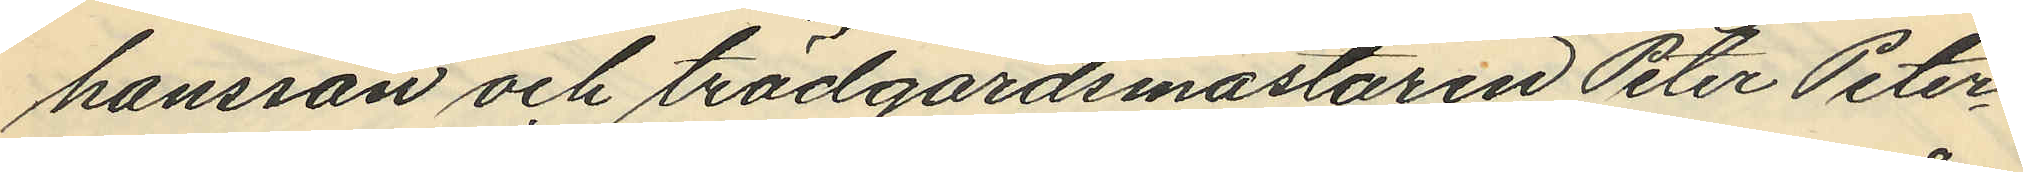hansson och trädgårdsmästaren Peter Peter¬
